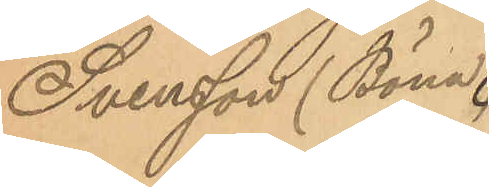Svensson (Böna)
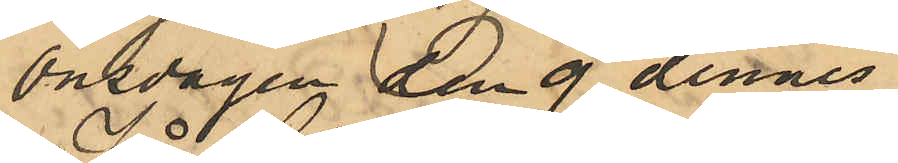Onsdagen den 9 dennes
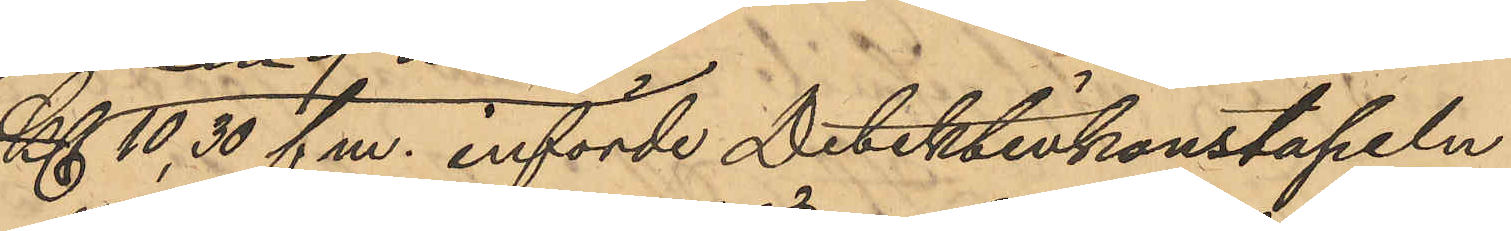Kl 10,30 fm. införde Detektivkonstapeln
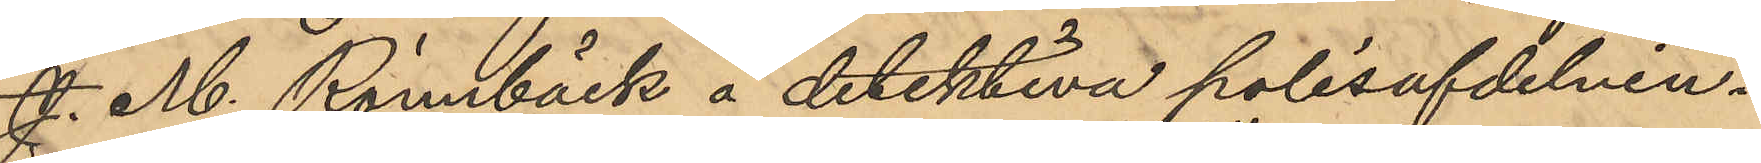J. M. Rönnbäck å detektiva polisafdelnin¬
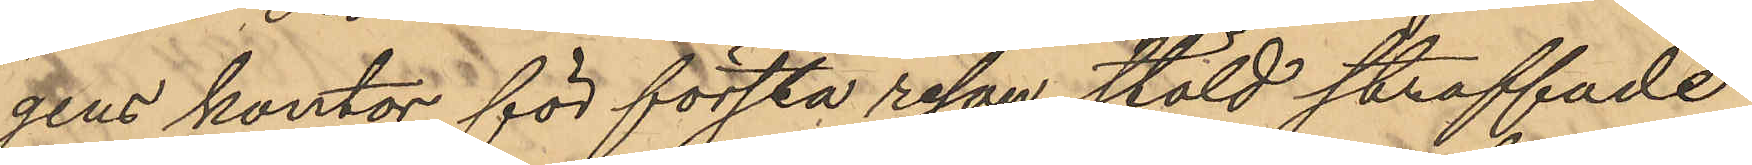gens kontor för första resan stöld straffade
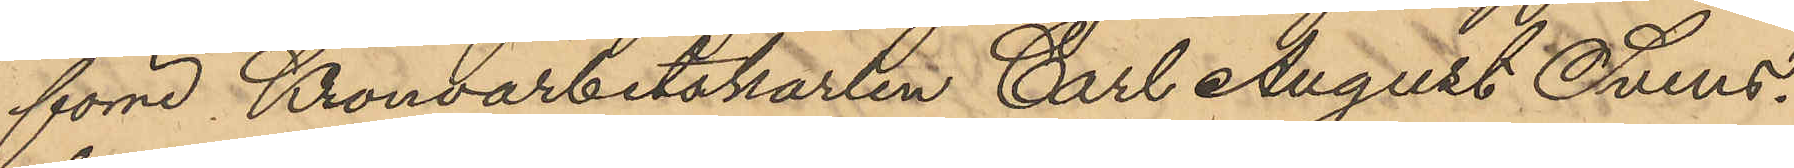förre Kronoarbetskarlen Carl August Svens¬
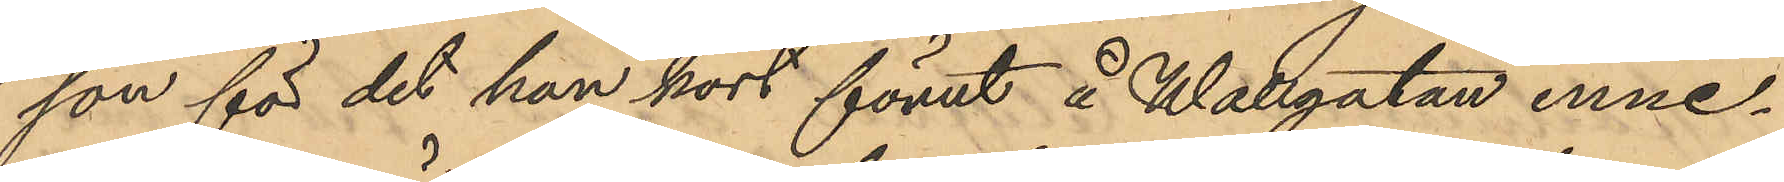son för det han kort förut å Wallgatan inne¬
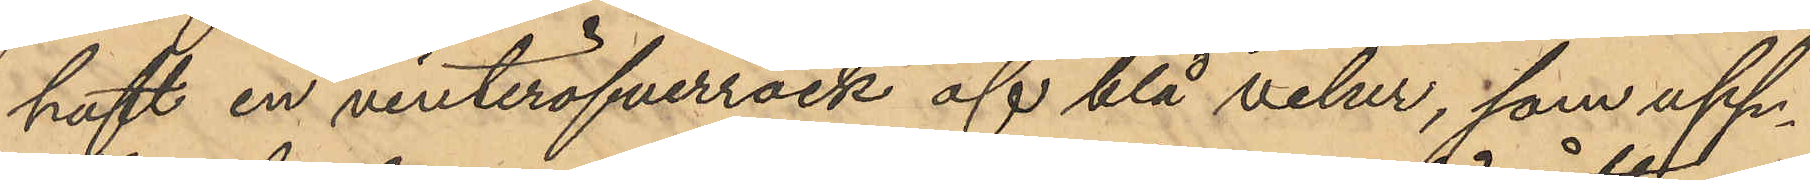haft en vinteröfverrock af blå velur, som upp¬
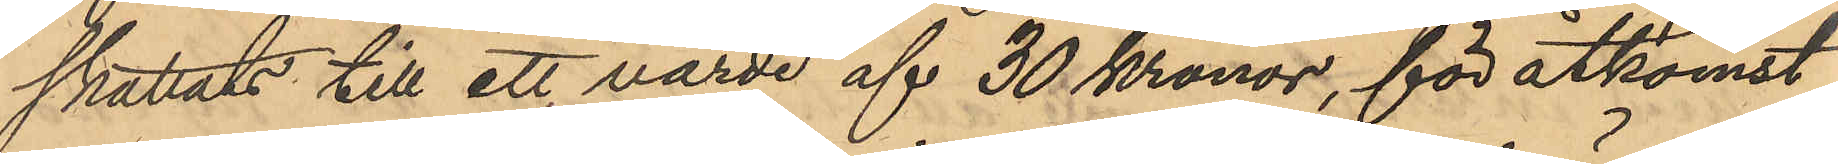skattats till ett värde af 30 Kronor, för åtkomst
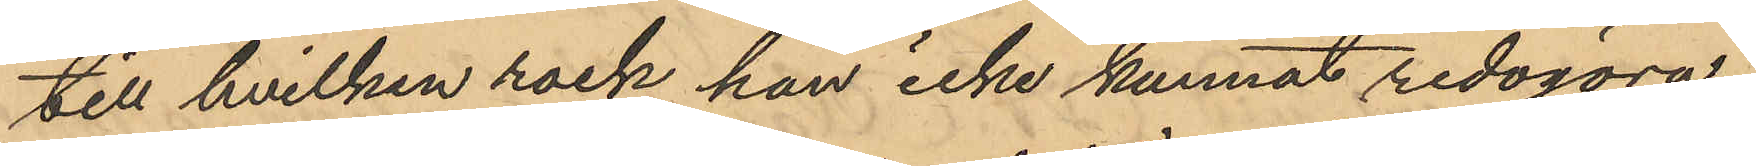till hvilken rock han icke kunnat redogöra.
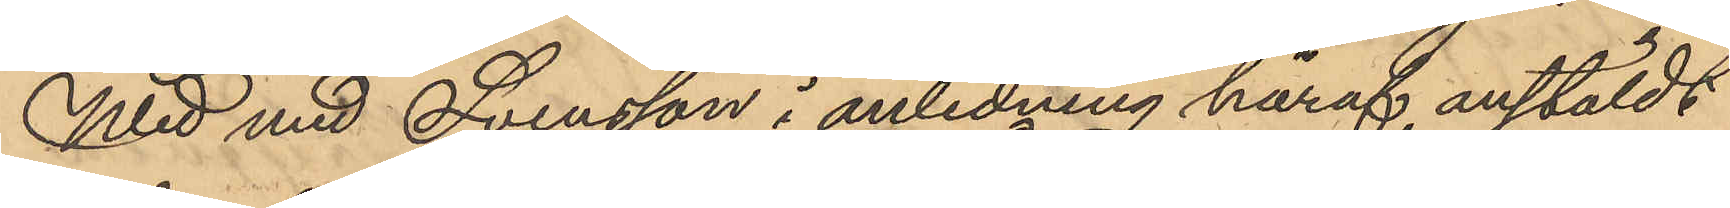Wid med Svensson i anledning häraf anstäldt
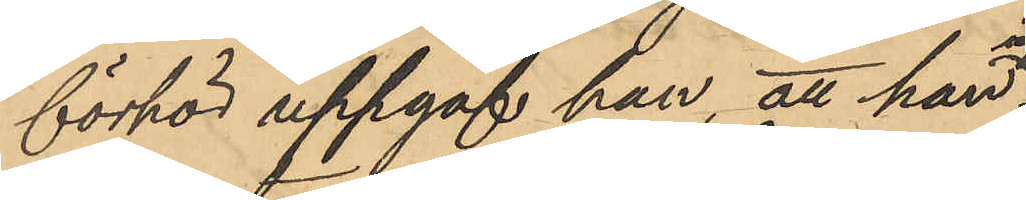förhör uppgaf han, att han
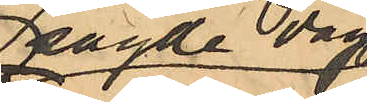samma dag
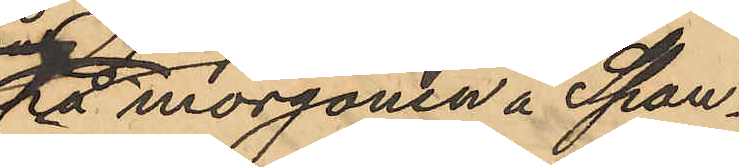på morgonen å Span¬
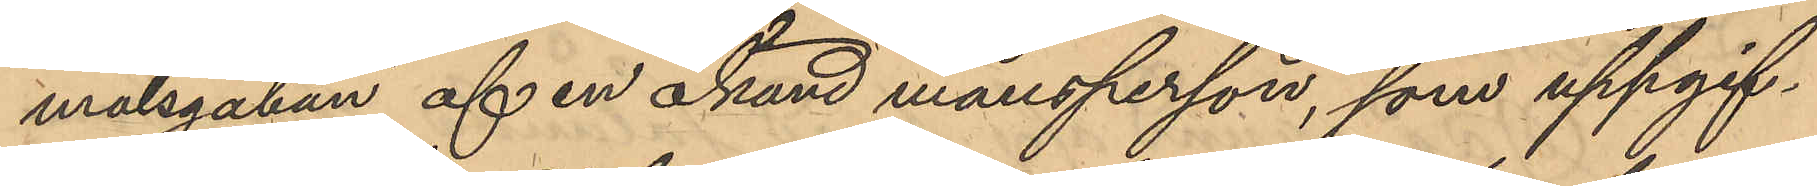målsgatan af en okänd mansperson, som uppgif¬
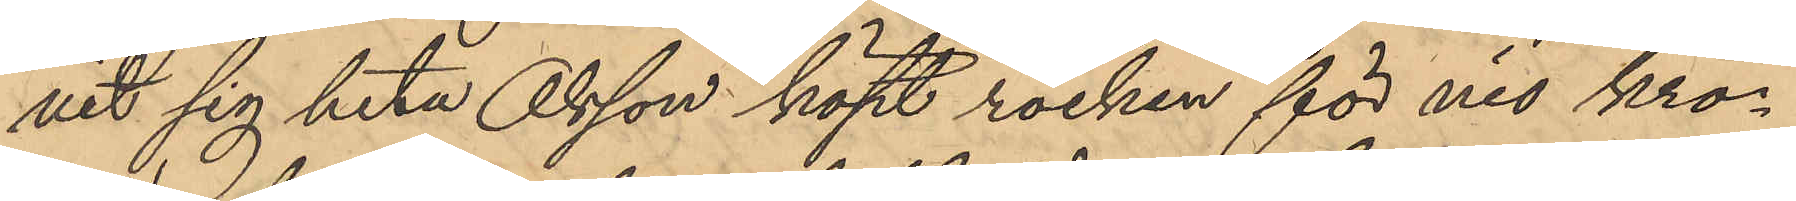vit sig heta Olsson köpt rocken för nio kro¬
